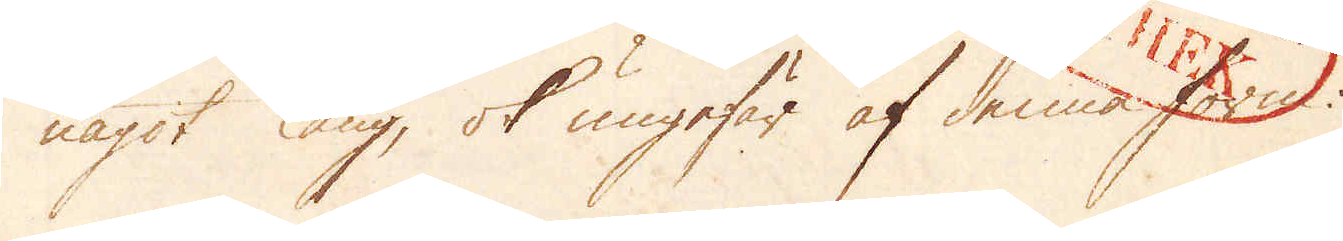något lång, ok ungefär af denna form:
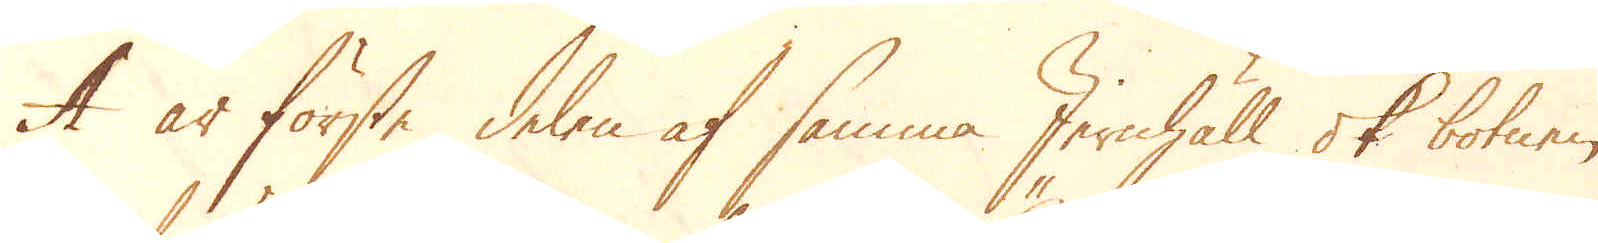A är förste delen af samma Jernhäll ok botnen
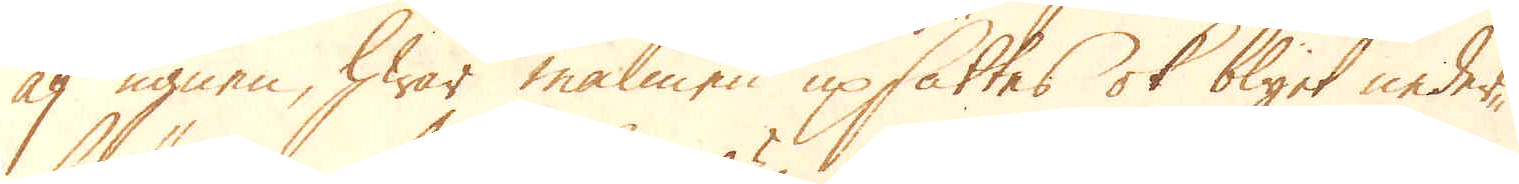af ugnen, hwar malmen upsättes ok blyet neder-
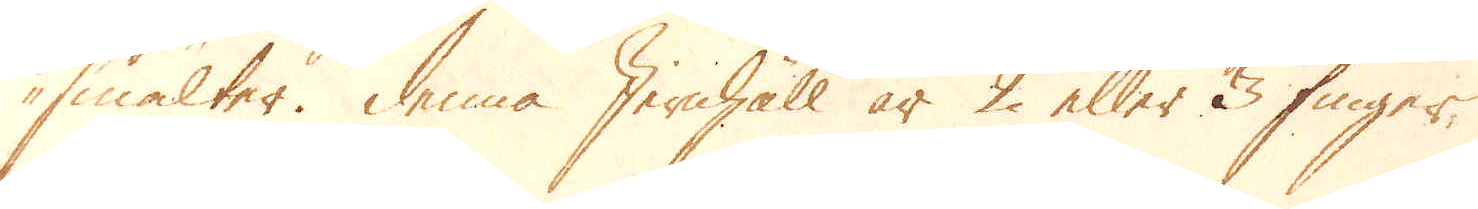smältes. Denna Jernhäll är 2 eller 3 fingers
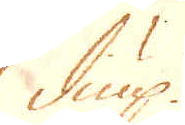diup.
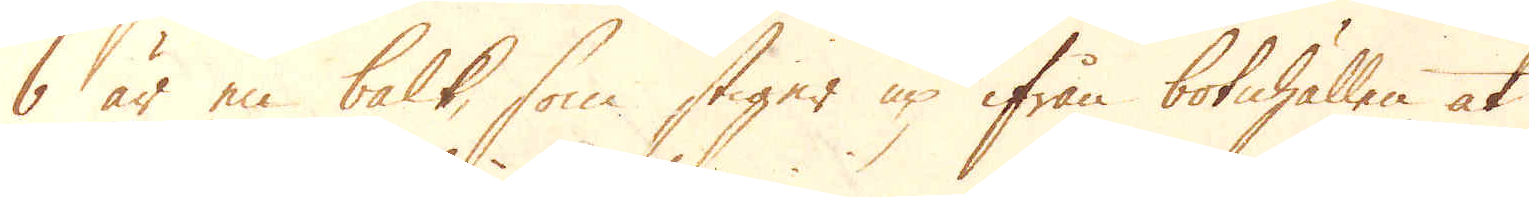b är en balk, som stiger up ifrån botnhällen at
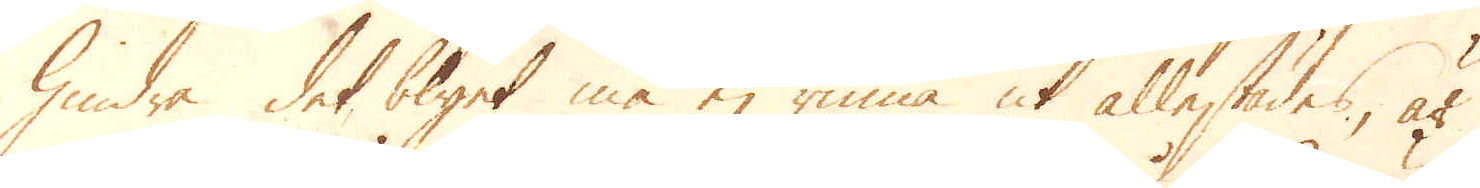hindra det blyet må ej rinna ut allestädes, är
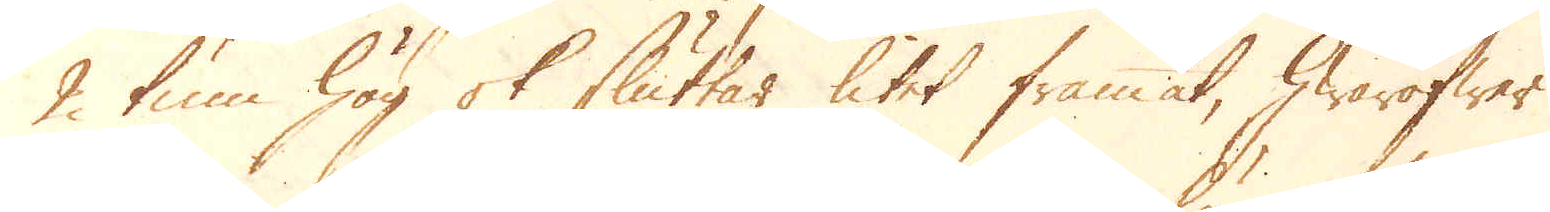2 tum hög ok sluttar litet framåt, hwaröfwer
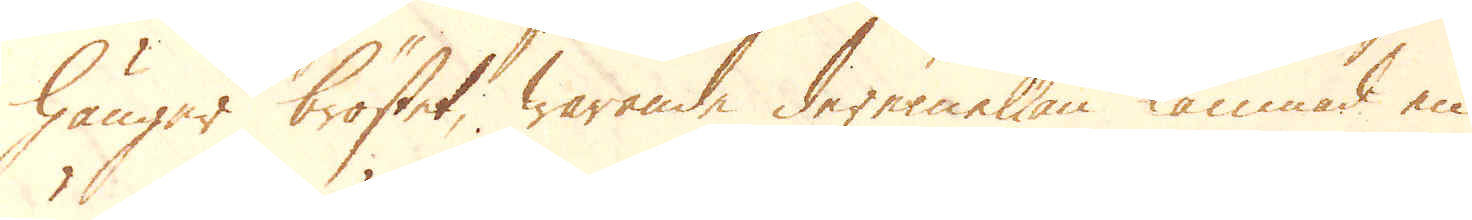hänger bröstet, warande deremellan lämnad en
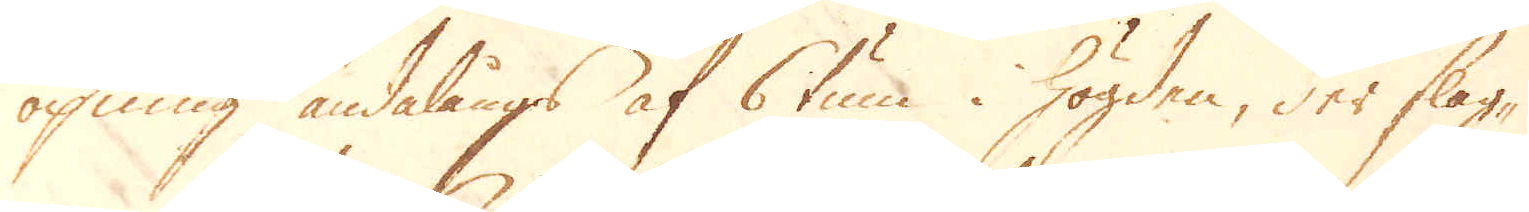öpning ändalångs af 6 tum i högden, der slag-
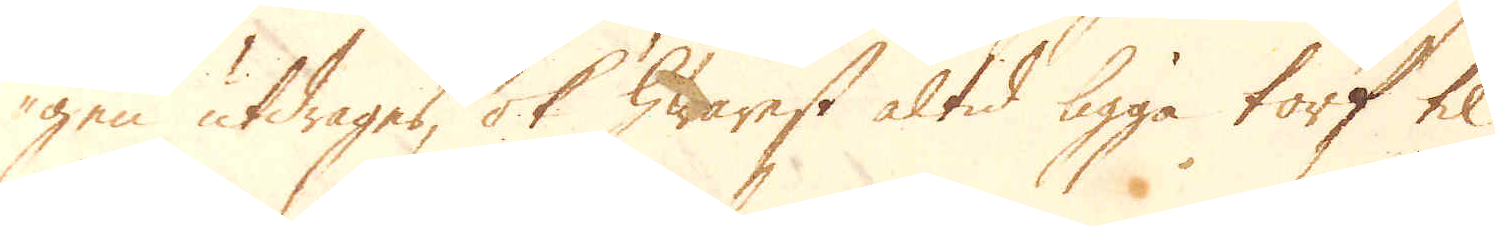gen utdrages, ok hwarest altid ligga torf til
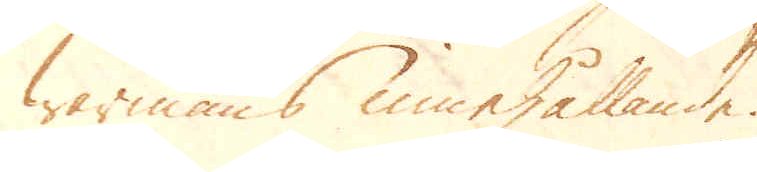wärmans underhållande.
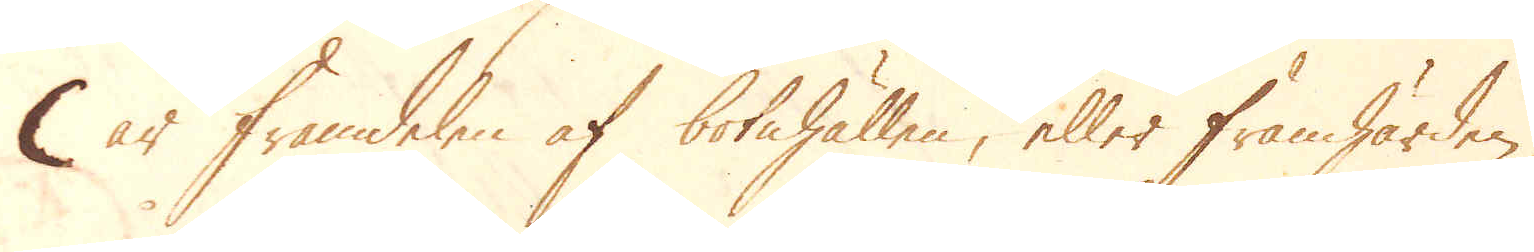C är framdelen af botnhällen, eller framhärden,
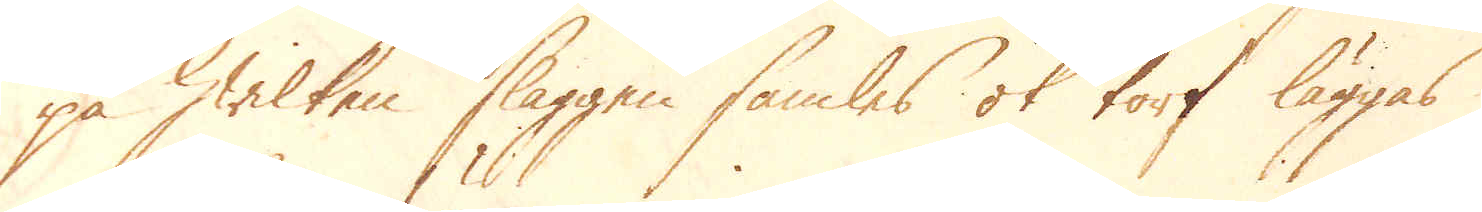på hwilken slaggen samles ok torf läggas
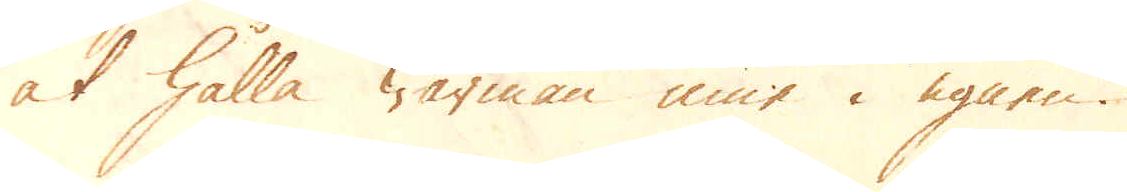at hålla wärman inne i ugnen.
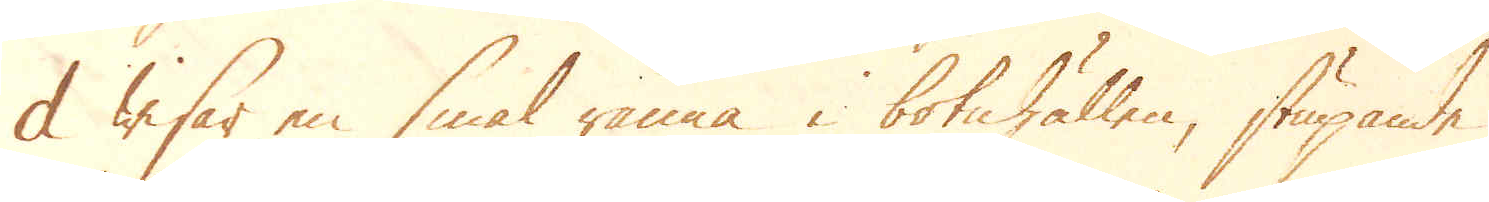d wisar en smal ränna i botnhällen, stupande
